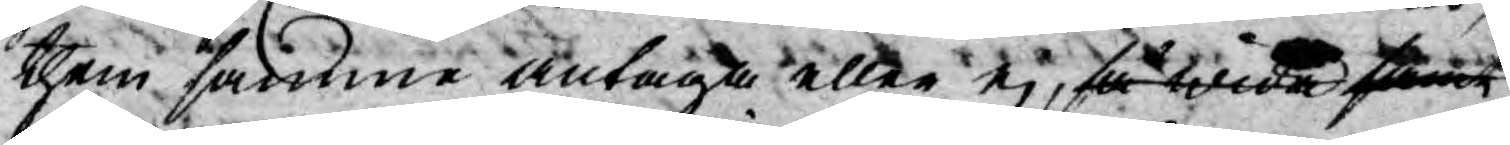them samma antaga eller ej, så wida samt
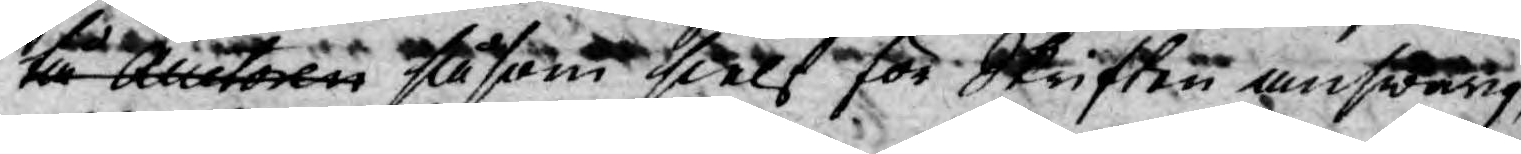tå Auctoren såsom sielf för Skriften answarig,
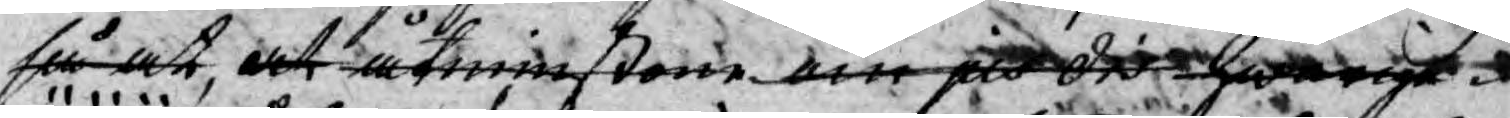så at, at åtminstone om jus dis hwarige¬
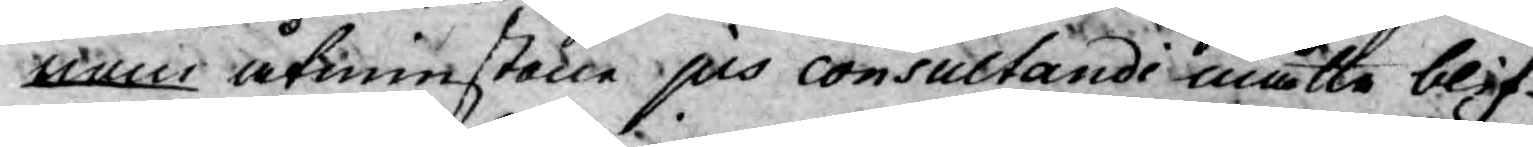nom åtminstone jus consultandi måtte blif¬
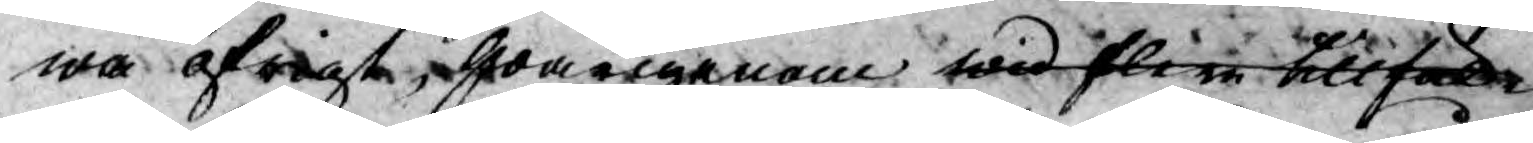wa öfrigt, hwarigenom wid flere tillfäl¬
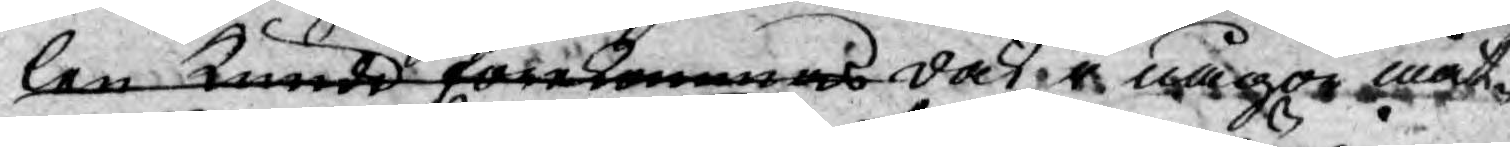len kunde förekommas dock i någon måt¬
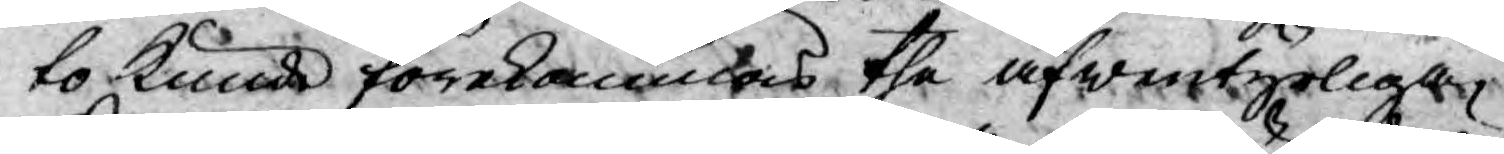to kunde förekommas the äfwentyrliga
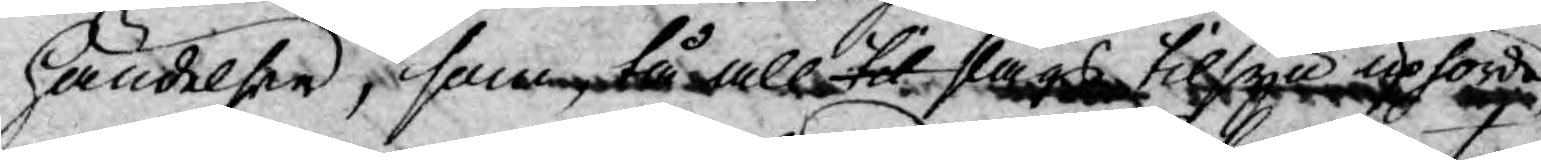händelser, som, tå all til slags tilsyn upförde
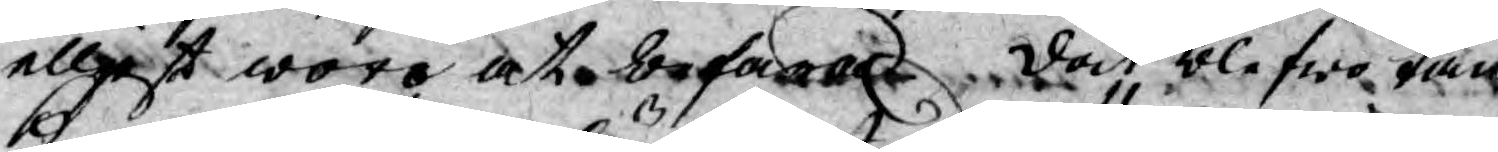elljest woro at befaras. dock blefwo tan¬
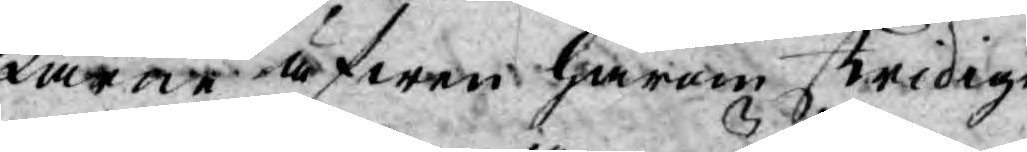karne äfwen härom stridige,
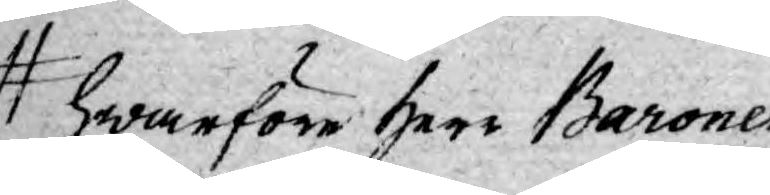hwarföre Herr Baronen
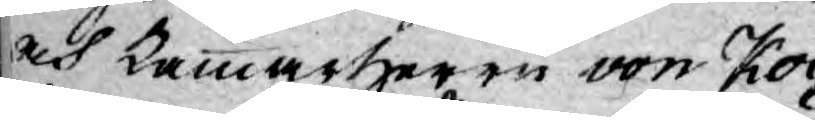och Cammarherrn von Koc¬
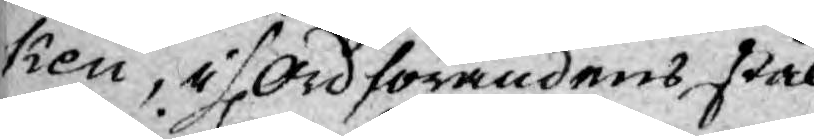ken, i H. Ordförandens stäl¬
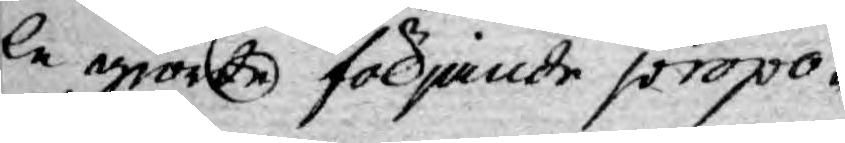le giorde följande propo-
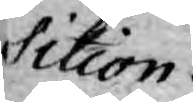sition:
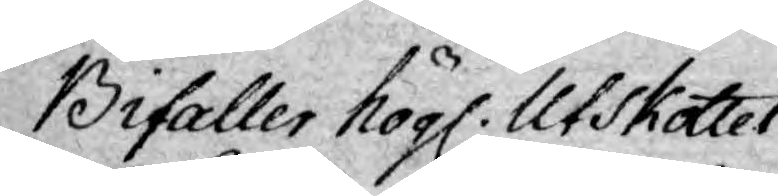Bifaller högl. Utskottet
